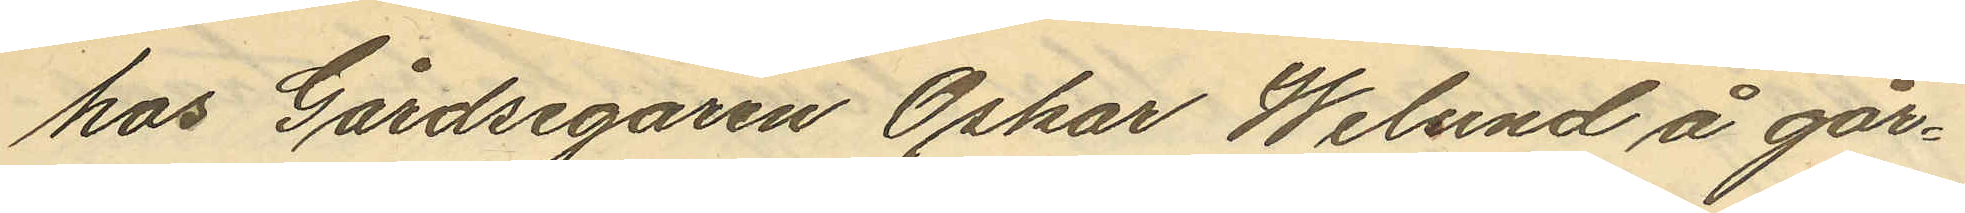hos Gårdsegaren Oskar Welund å går¬
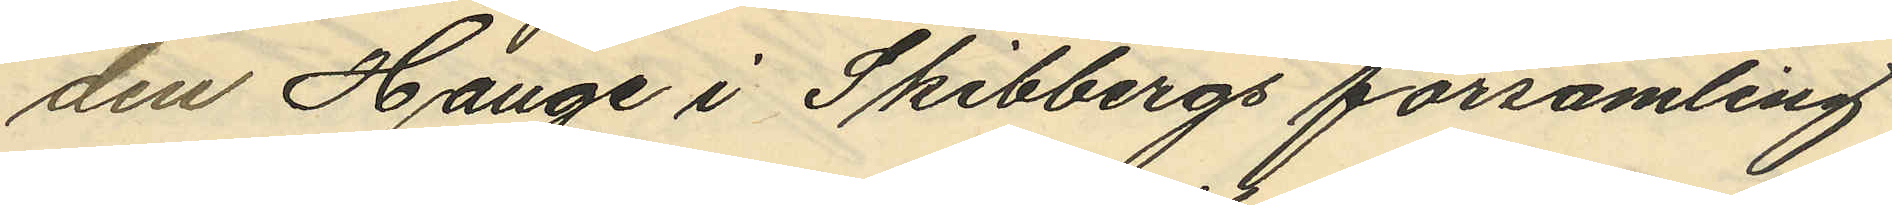den Hauge i Skibbergs församling
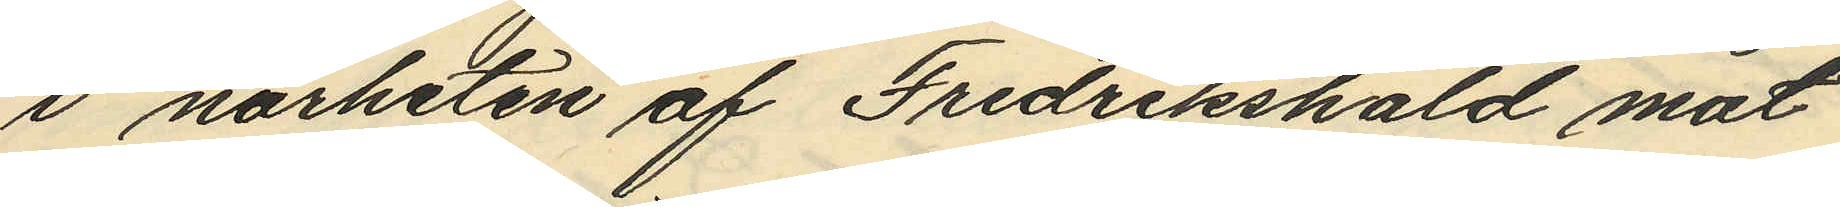i närheten af Fredrikshald mot
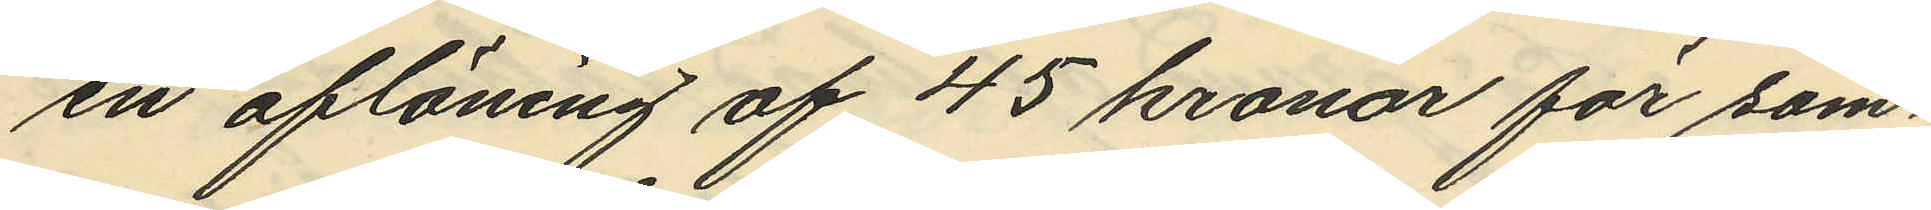en aflöning af 45 kronor för som¬
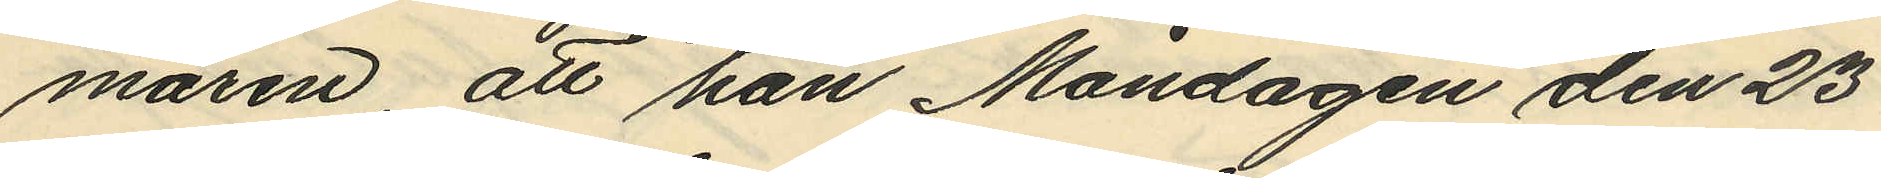maren, att han Måndagen den 23
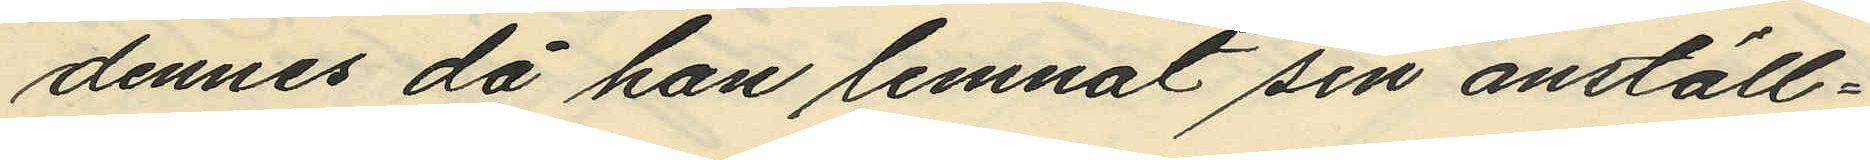dennes då han lemnat sin anställ¬
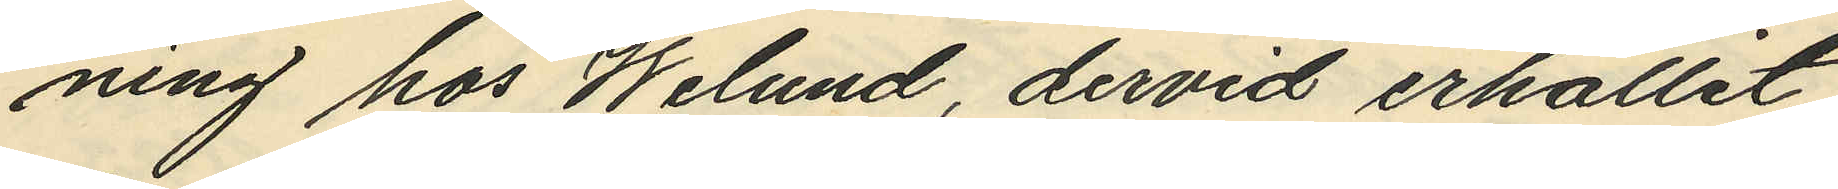ning hos Welund, dervid erhållit
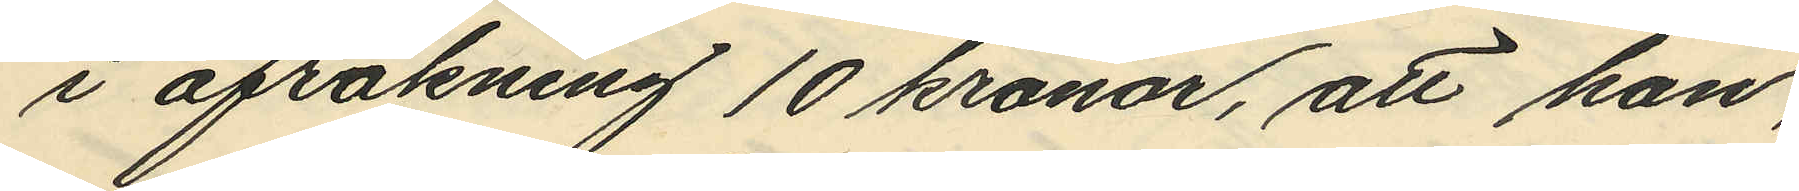i afräkning 10 kronor, att han,
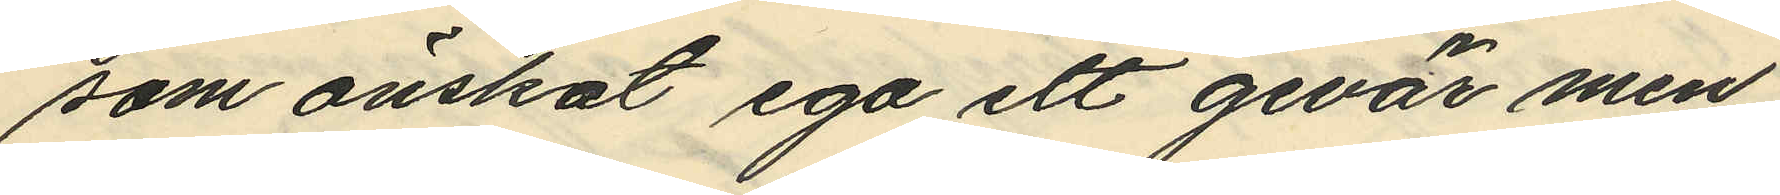som önskat ega ett gevär men
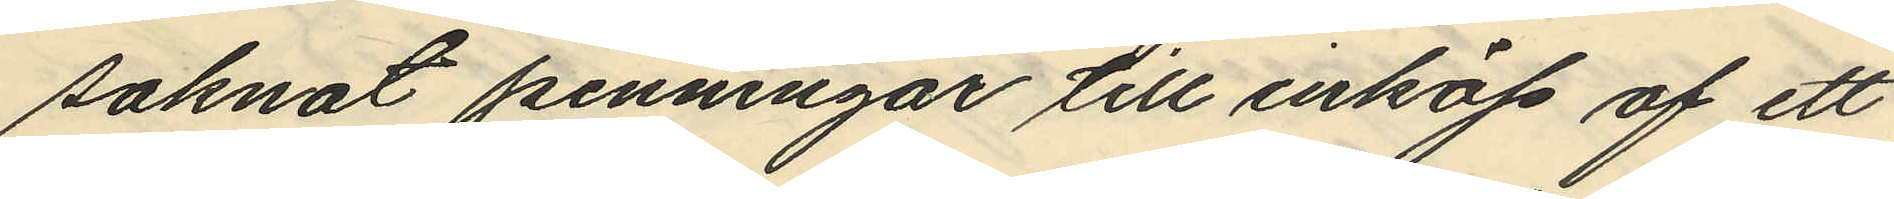saknat penningar till inköp af ett
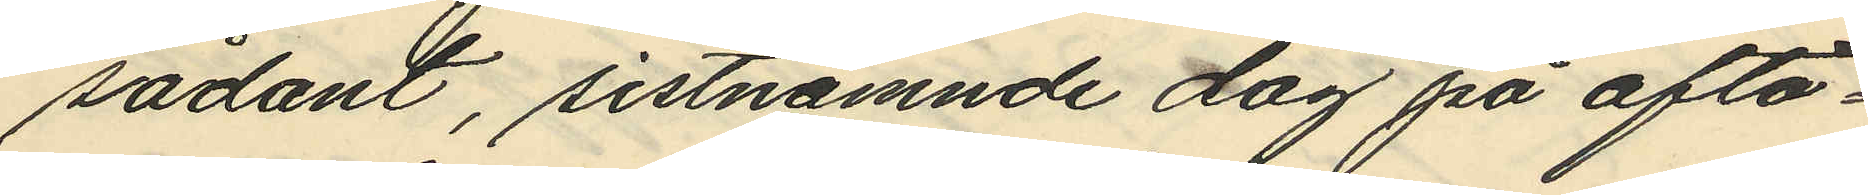sådant, sistnämnde dag på afto¬
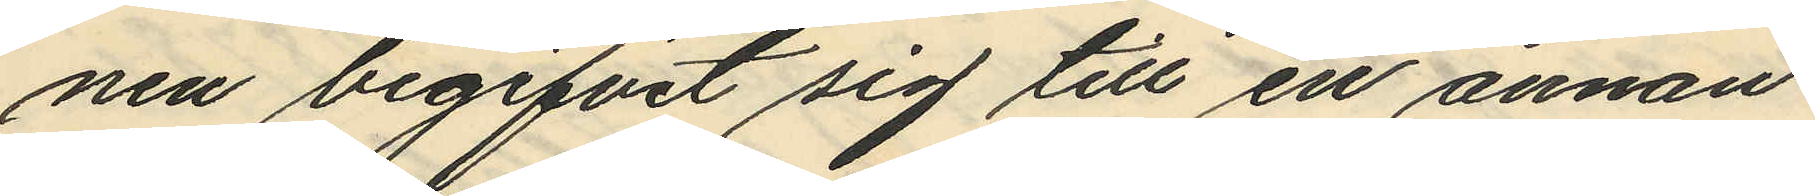nen begifvit sig till en annan
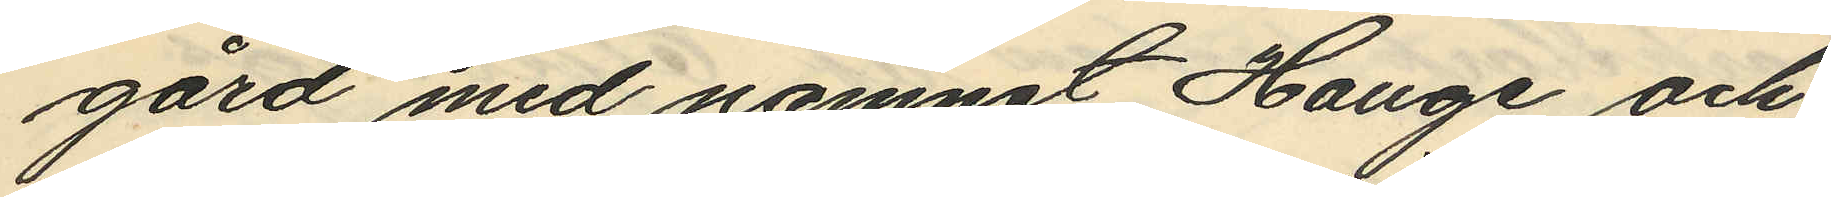gård med namnet Hauge och
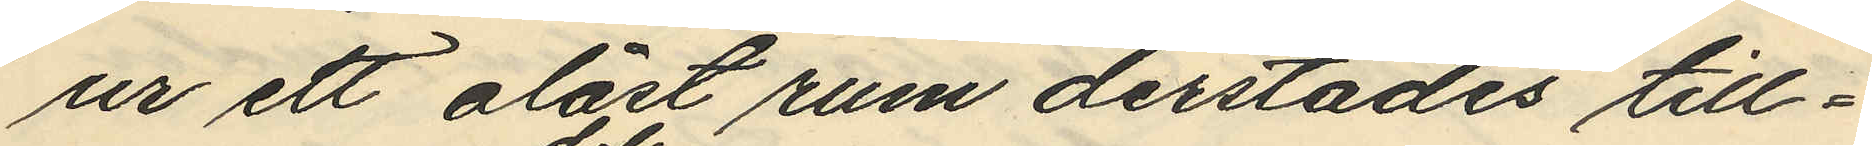ur ett olåst rum derstädes till¬
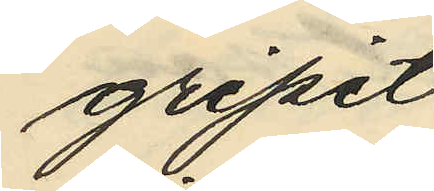gripit
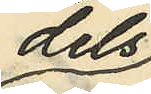dels
